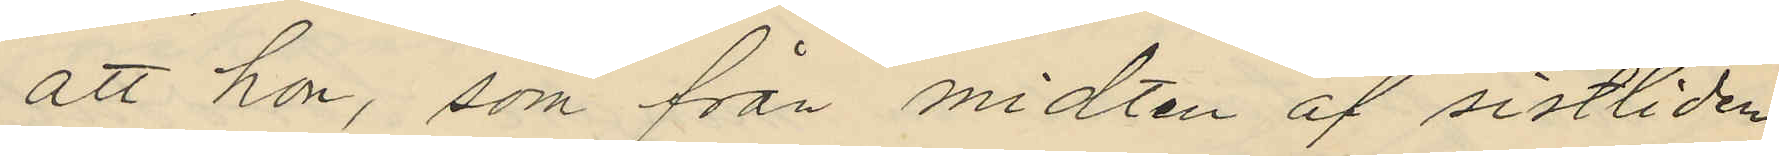att hon, som från midten af sistliden
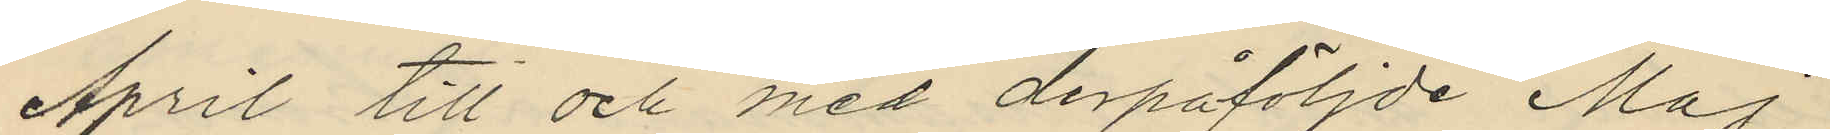April till och med derpåföljde Maj
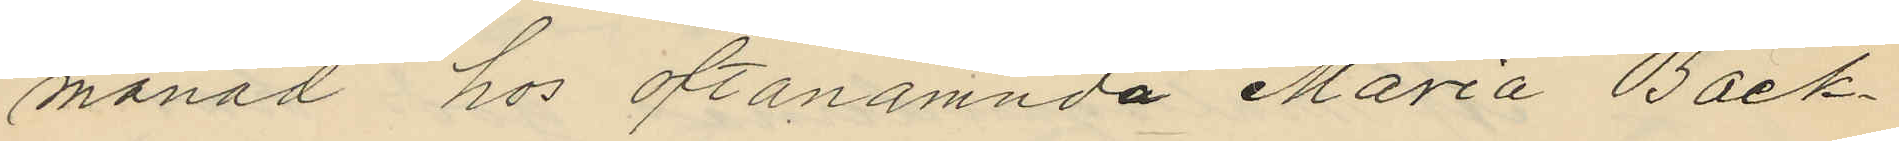månad hos oftanämnda Maria Bäck¬
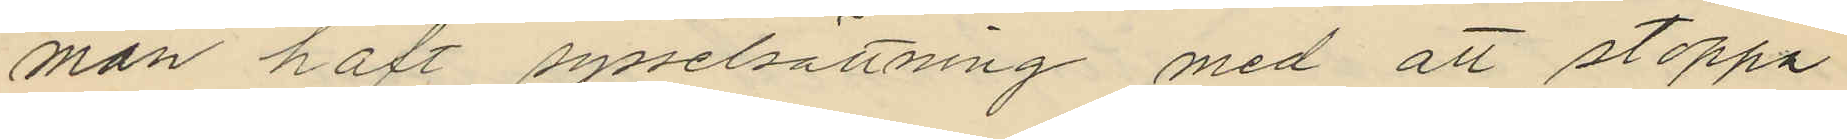man haft sysselsättning med att stoppa
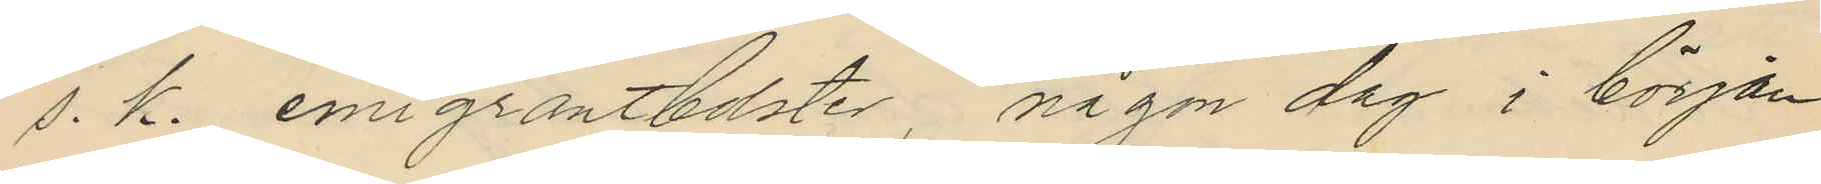s. k. emigrantbolster, någon dag i början
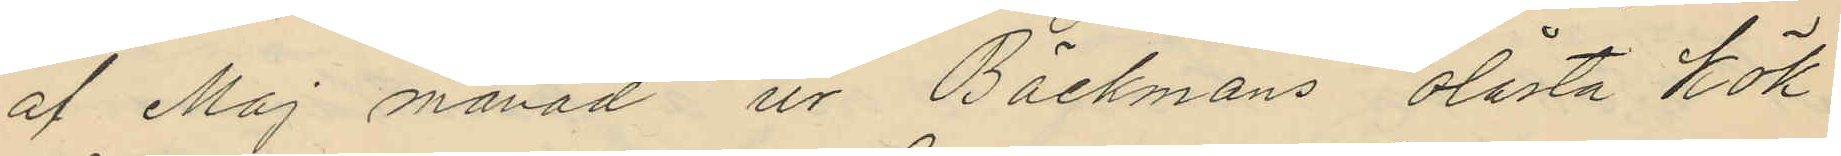af Maj månad ur Bäckmans olåsta kök
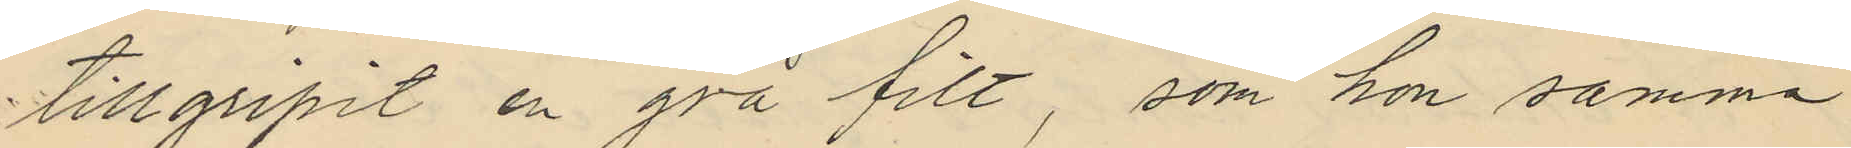tillgripit en grå filt, som hon samma
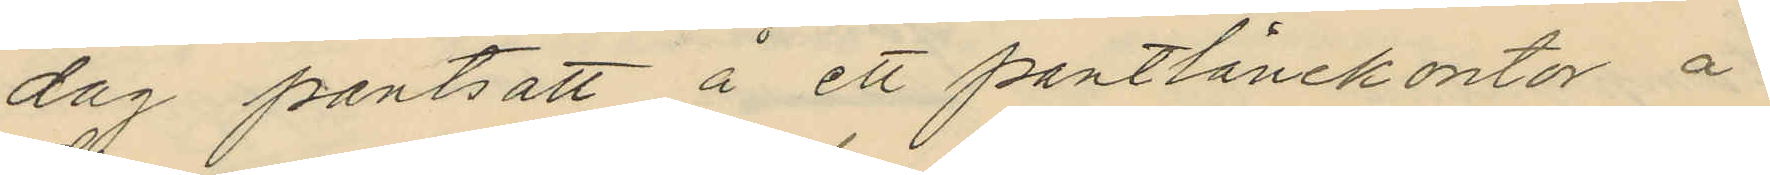dag pantsatt å ett pantlånekontor å
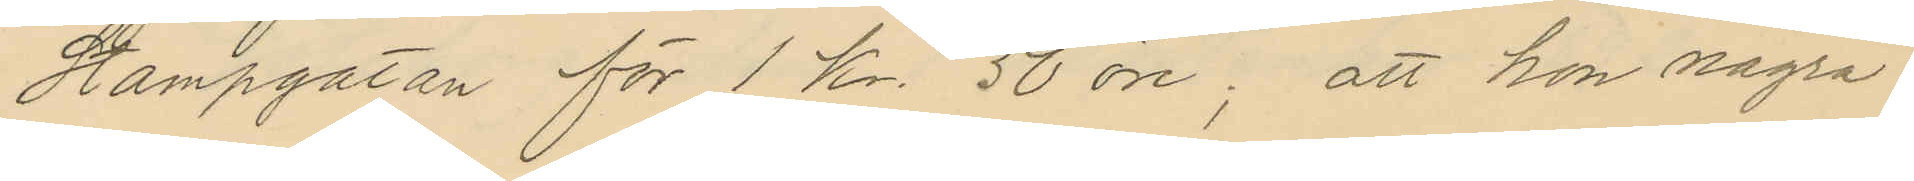Stampgatan för 1 Kr. 50 öre; att hon några
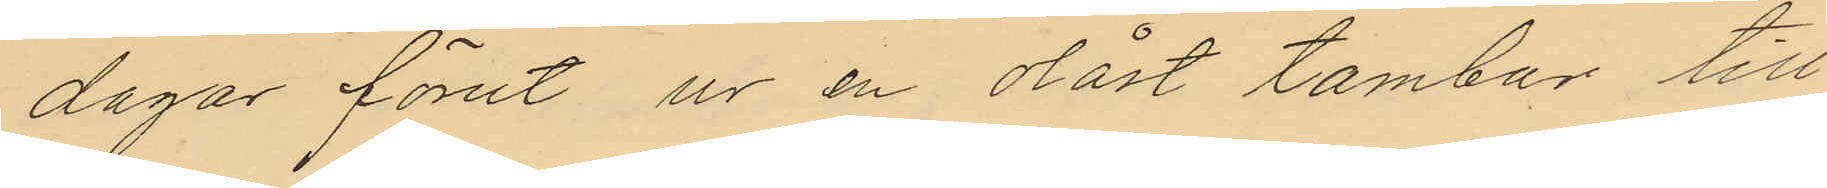dagar förut ur en olåst tambur till
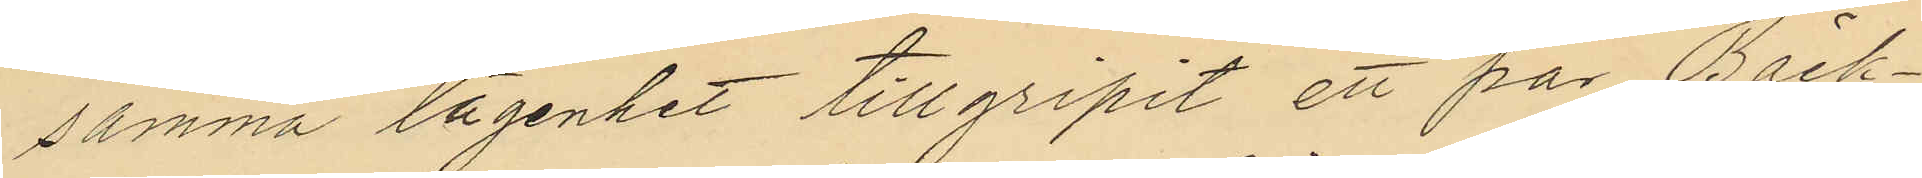samma lägenhet tillgripit ett par Bäck¬
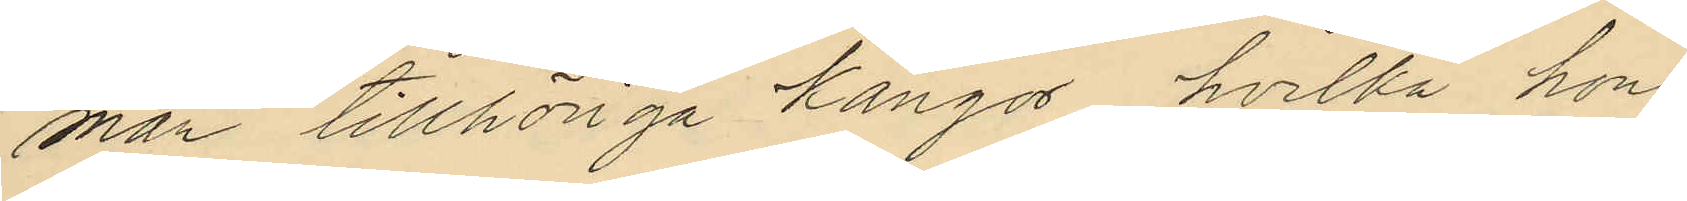man tillhöriga kängor, hvilka hon
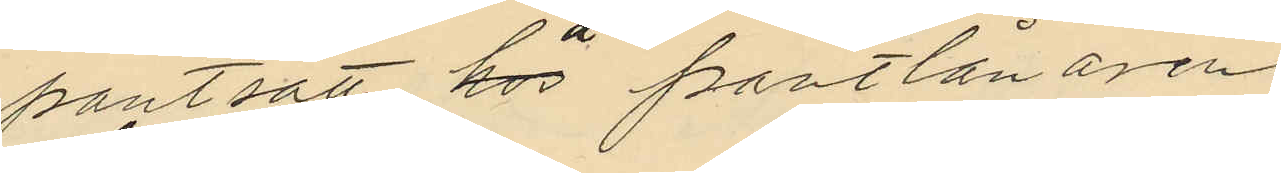pantsatt hos å pantlånaren
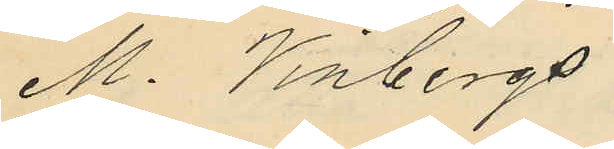M. Vinbergs
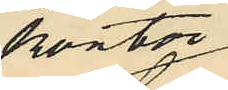kontor
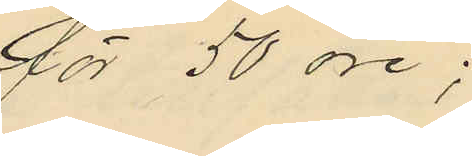för 50 öre;
